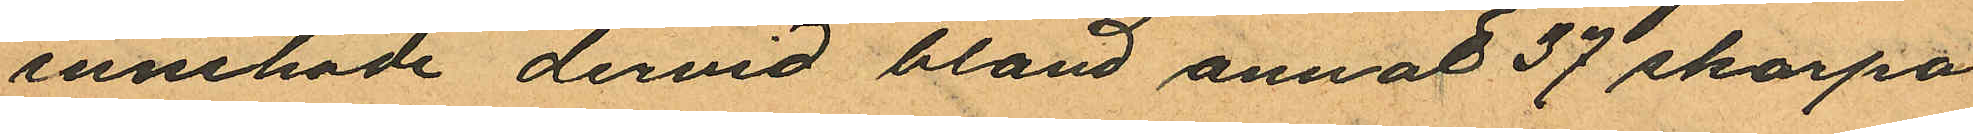innehade dervid bland annat 37 skarpa
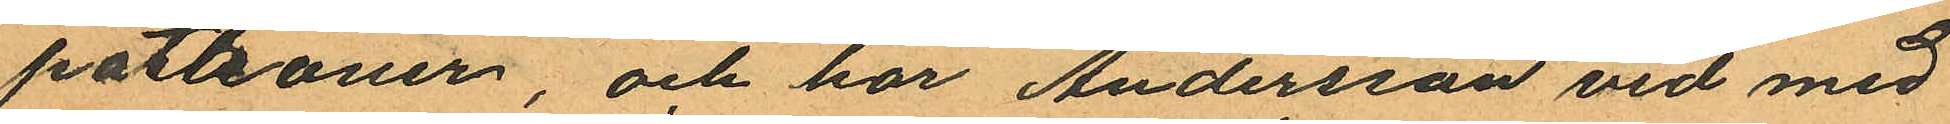patroner, och har Andersson vid med
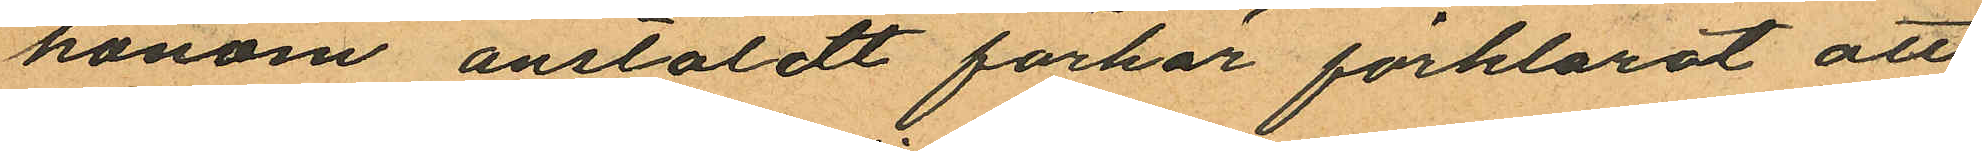honom anstäldt förhör förklarat att
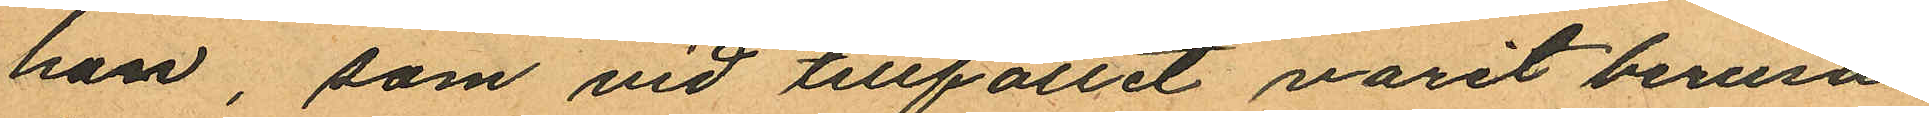han, som vid tillfället varit berusad
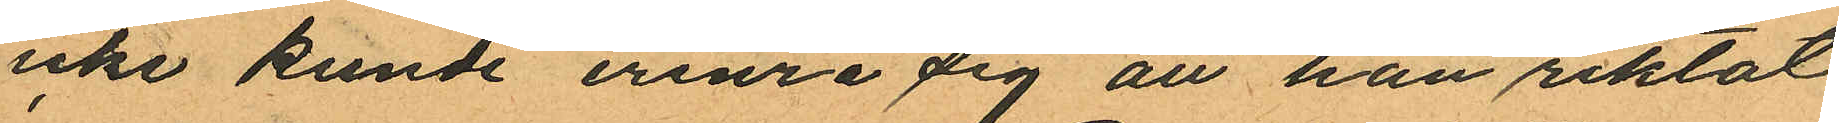icke kunde erinra sig att han riktat
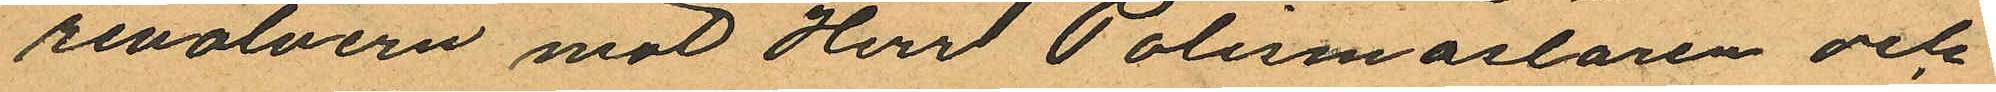revolvern mot Herrl Polismästaren och
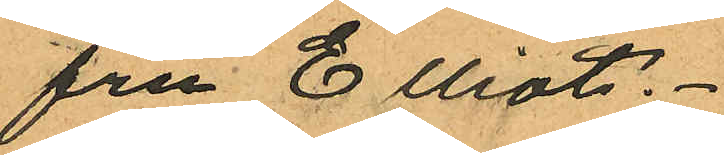fru Elliot.
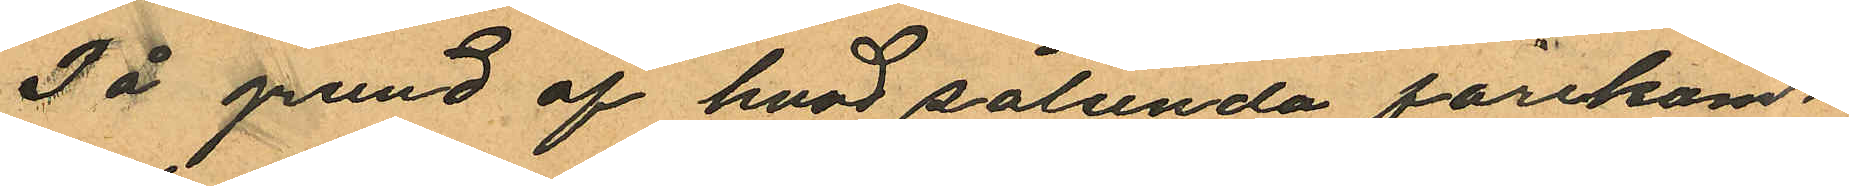På grund af hvad sålunda förekom¬
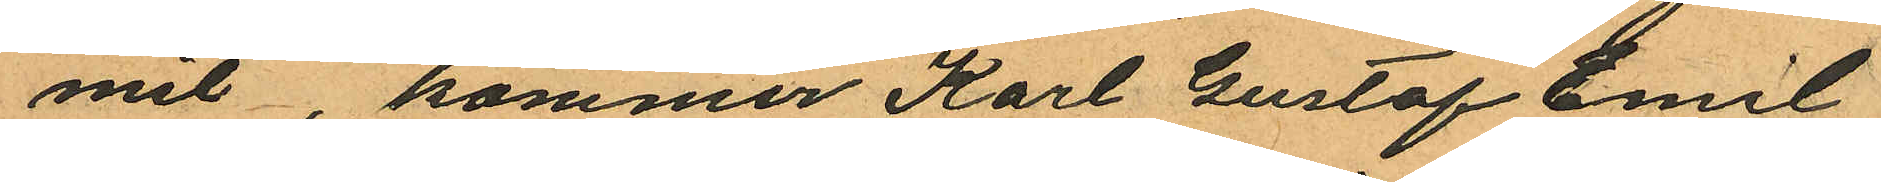mit, kommer Karl Gustaf Emil
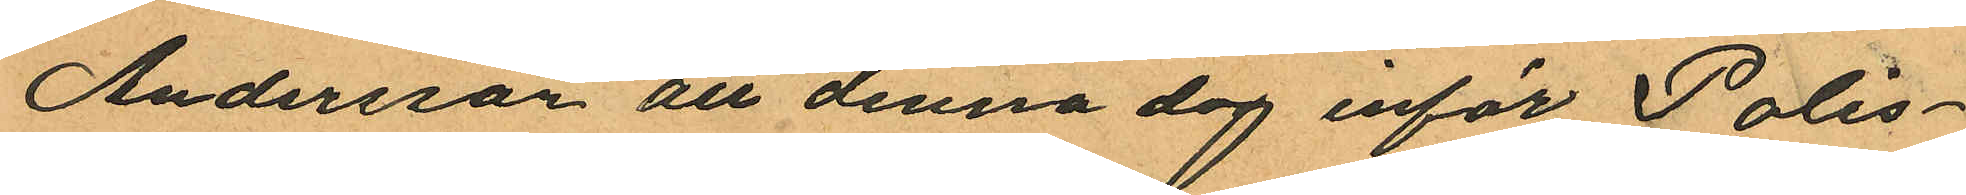Andersson att denna dag inför Polis¬
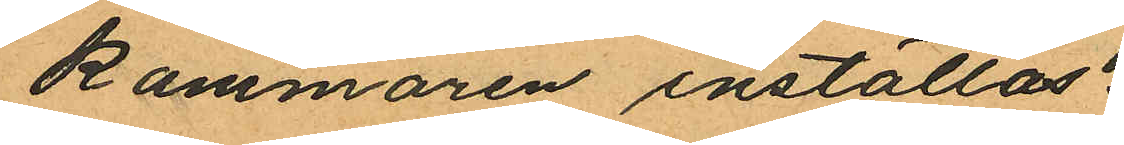kammaren inställas.
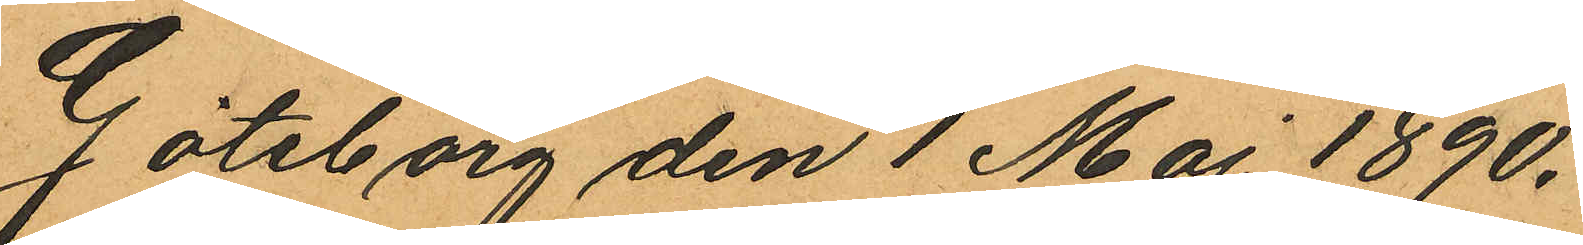Göteborg den 1 Maj 1890.
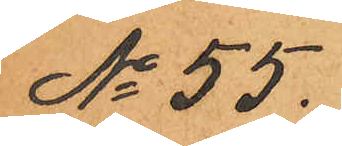No 55.
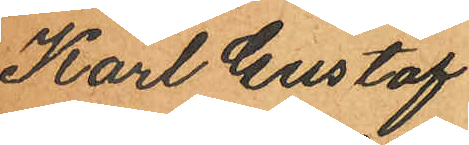Karl Gustaf
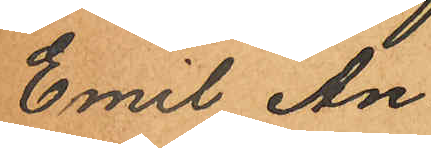Emil An¬
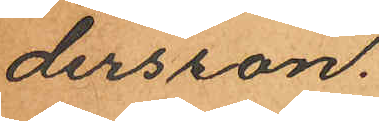dersson.
